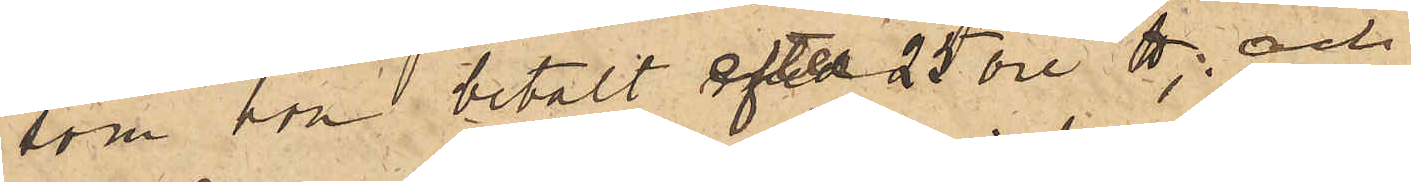som hon betalt efter 25 öre ℔; och
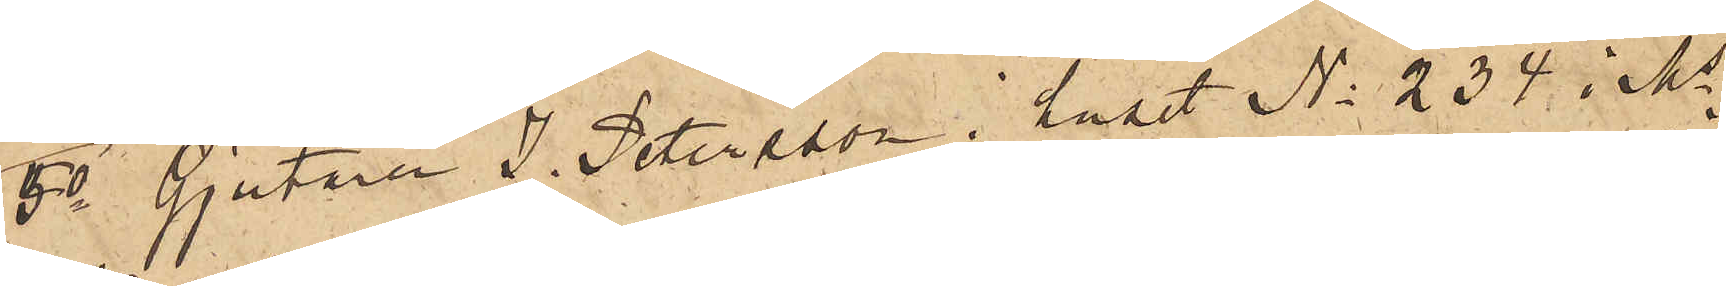5o Gjutaren J. Petersson i huset No 234 i Ms
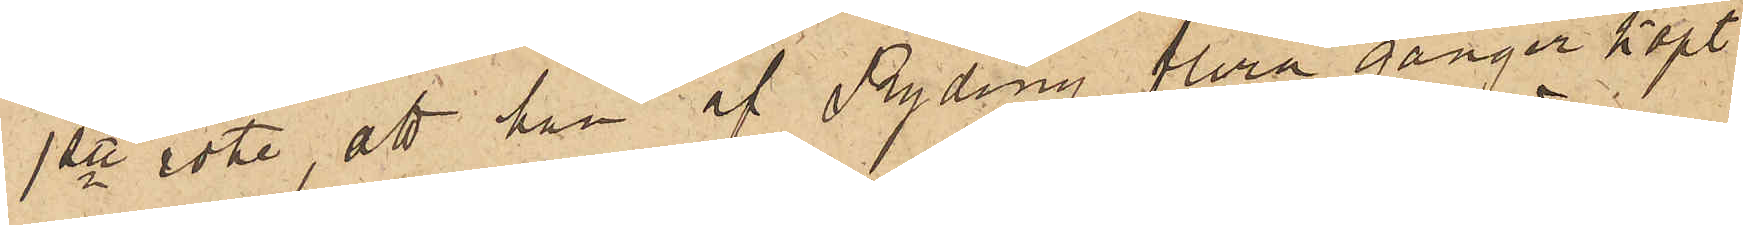1ste rote, att han af Ryding flera gånger köpt
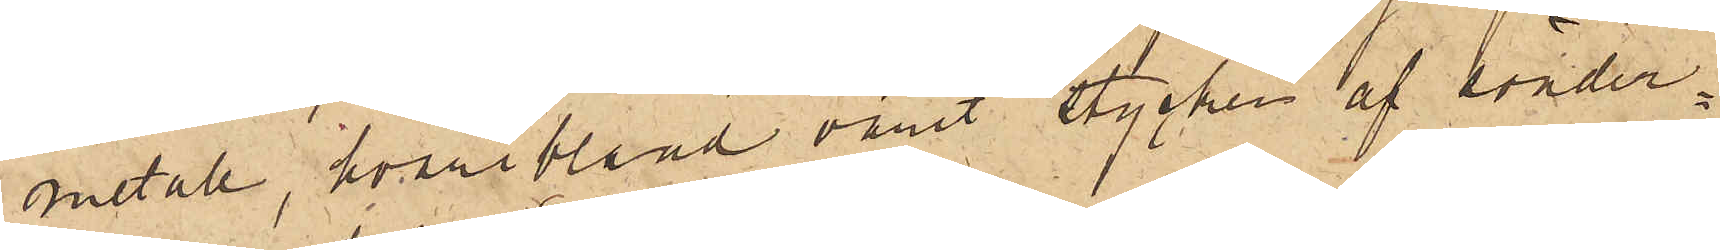metall, hvaribland varit stycken af sönder¬
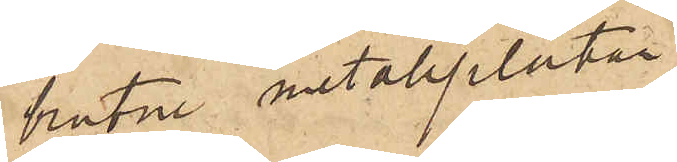brutne metallplåtar.
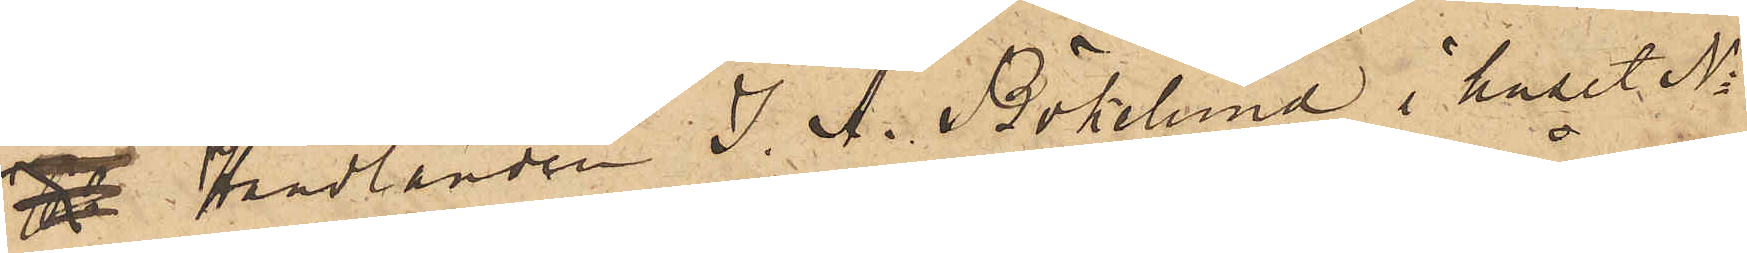Handlanden J. A. Bökelund i huset No
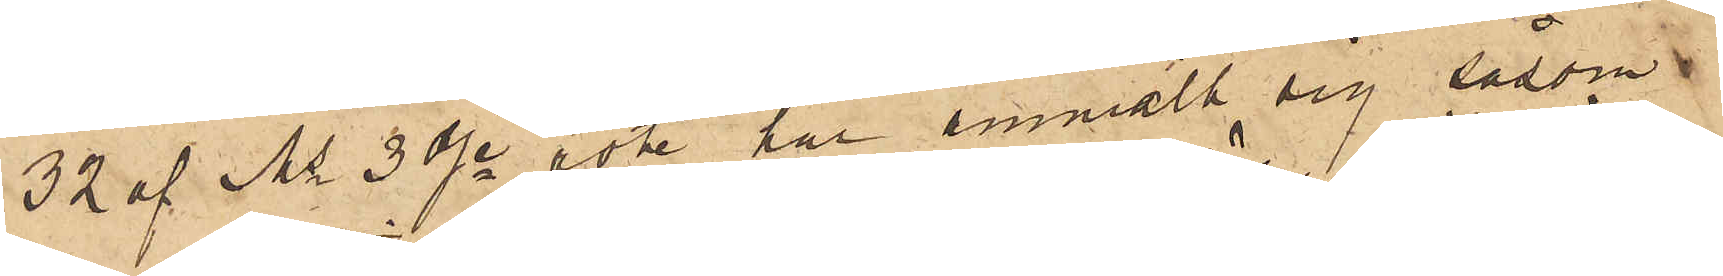32 af Ms 3dje rote har anmält sig såsom
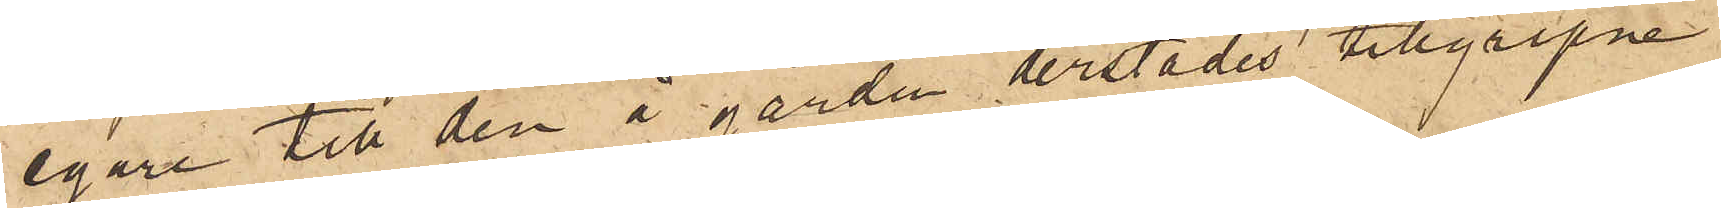egare till den å gården derstädes tillgripne
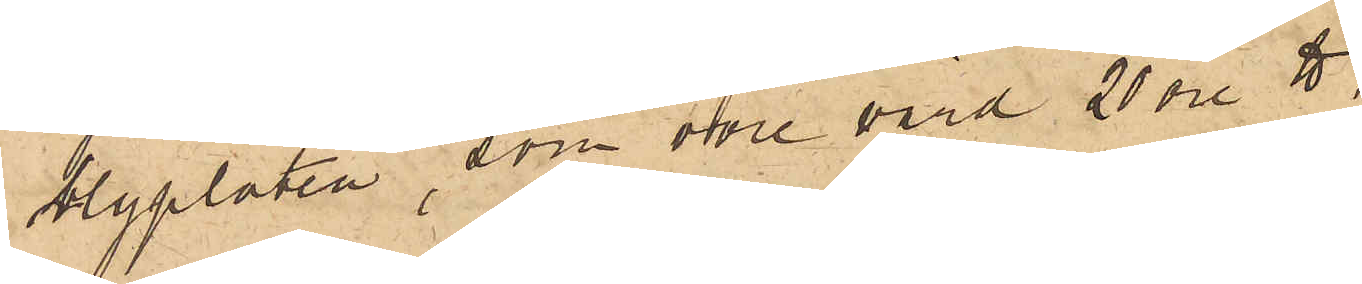blyplåten, som vore värd 20 öre ℔,
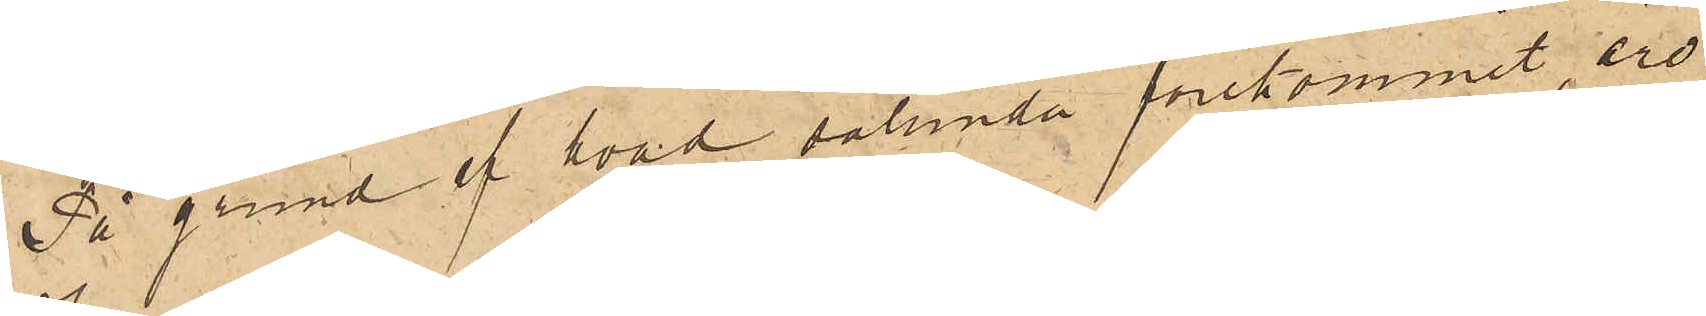På grund af hvad sålunda förekommit, äro
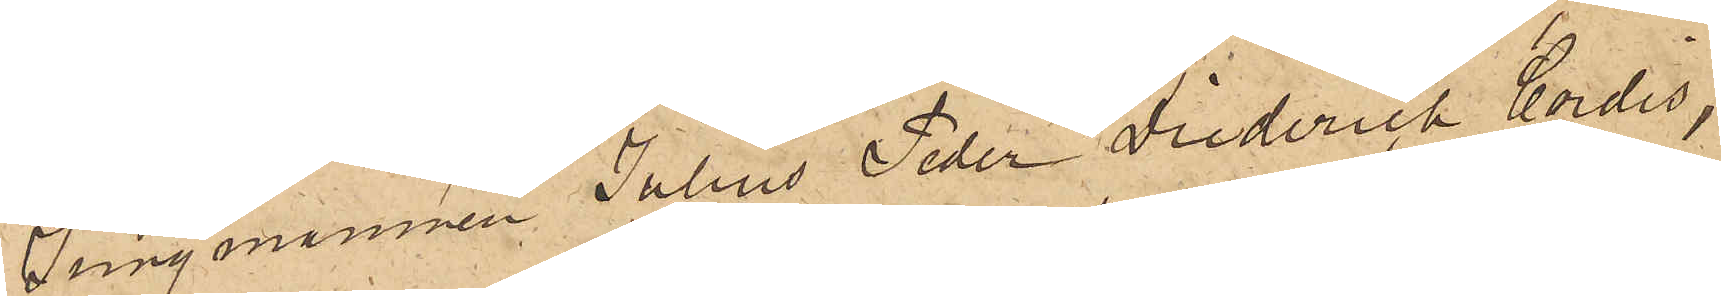Jungmannen Julius Peder Diederich Cordis,
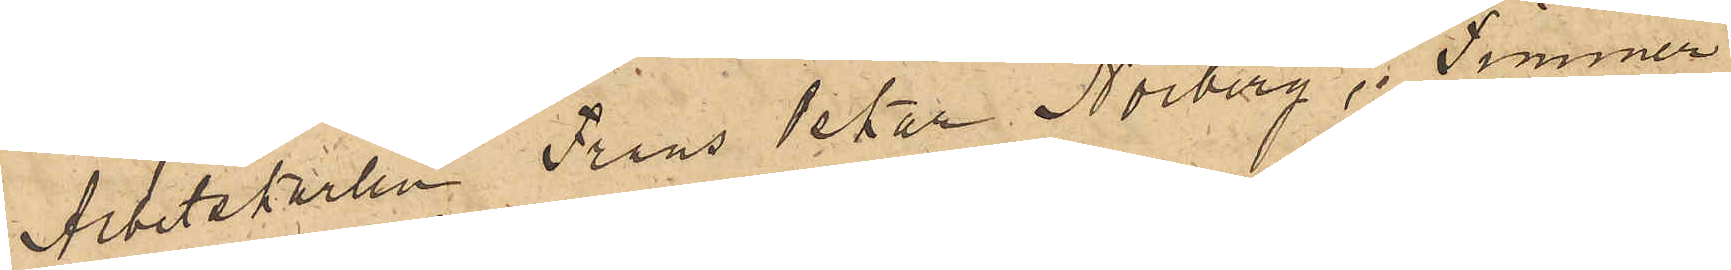Arbetskarlen Frans Peter Norberg, Timmer¬
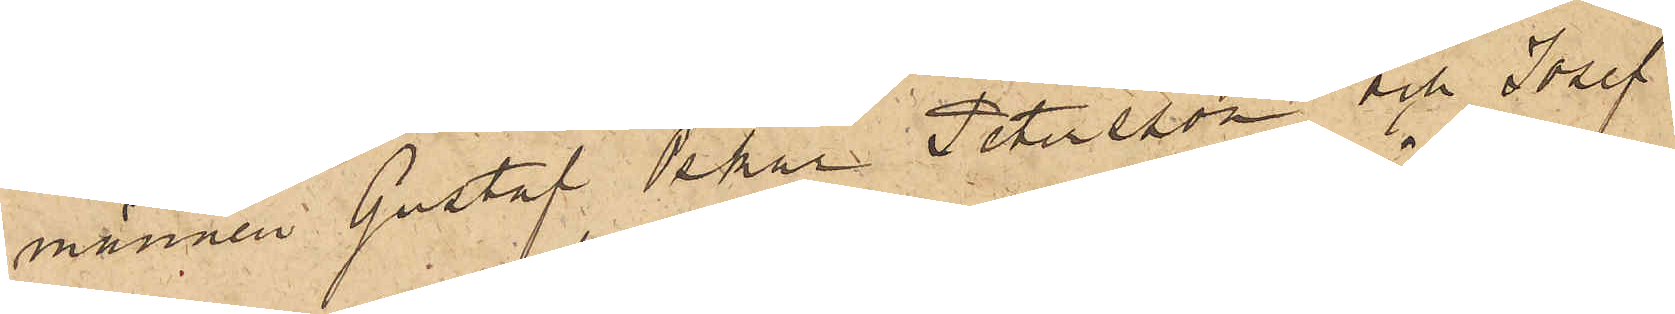männen Gustaf Oskar Petersson och Josef
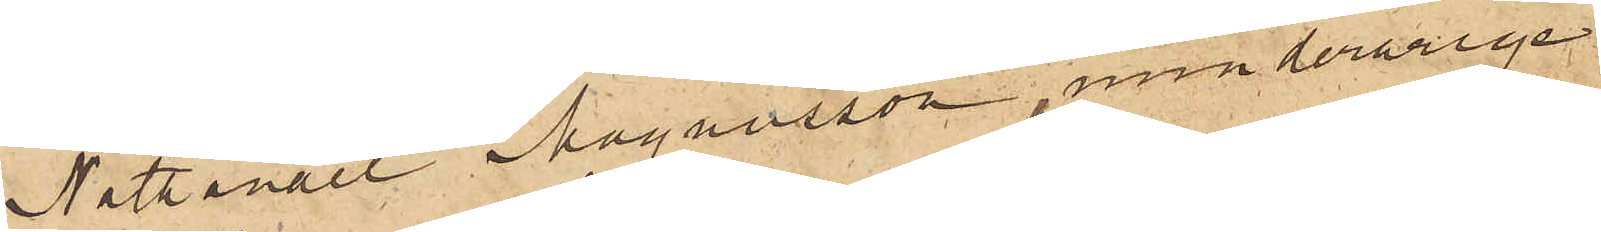Nathanael Magnusson, minderårige
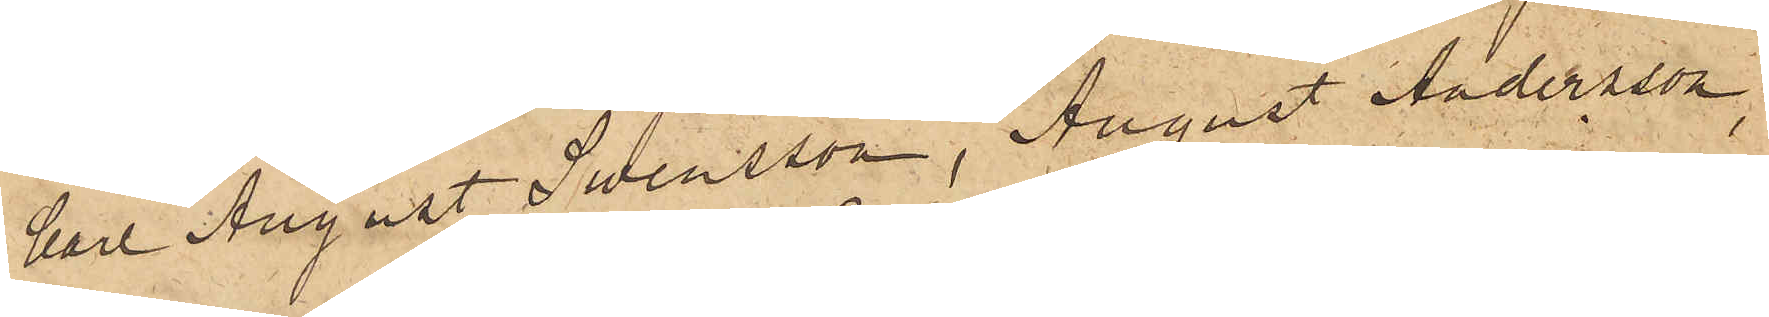Carl August Swensson, August Andersson,
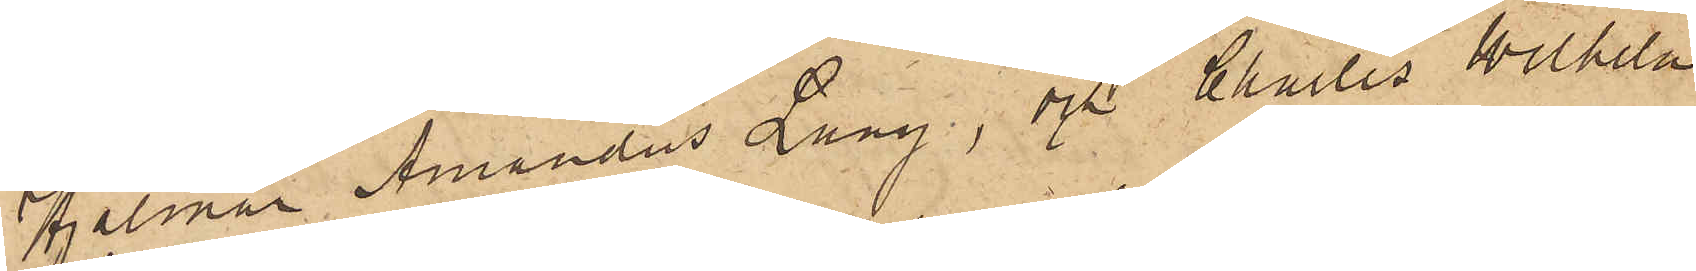Hjalmar Amandus Lang, och Charles Wilhelm
